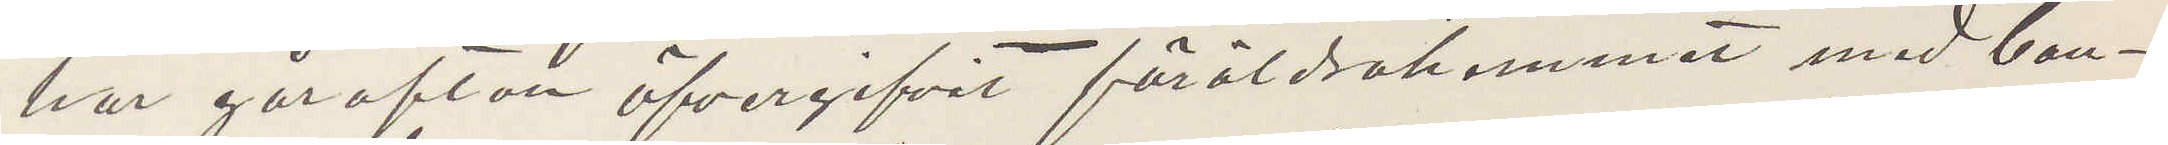har gårafton öfvergifvit föräldrahemmet med ban¬
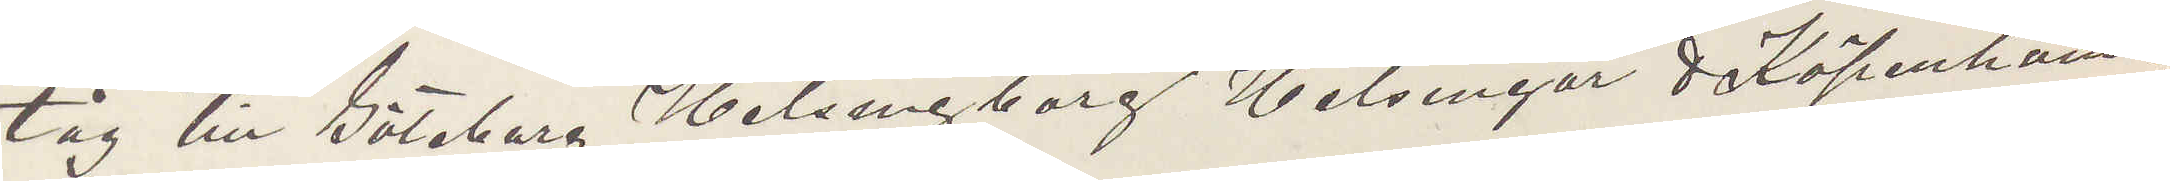tåg till Göteborg Helsingborg Helsingör & Köpenhamn.
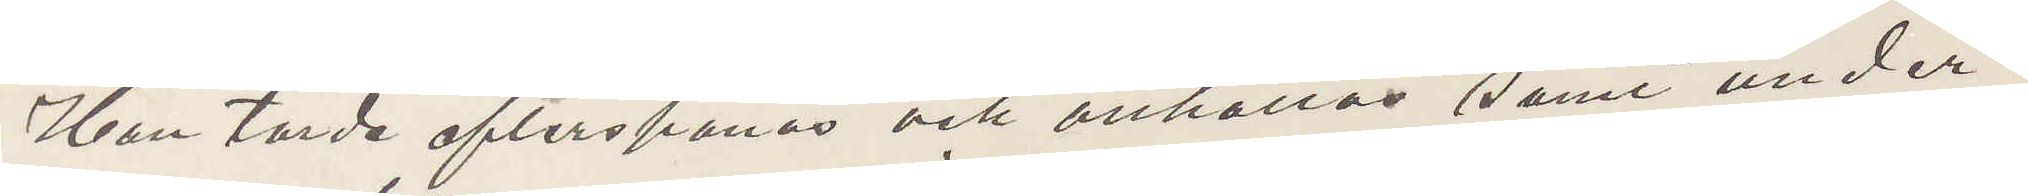Han torde efterspanas och anhållas samt under¬
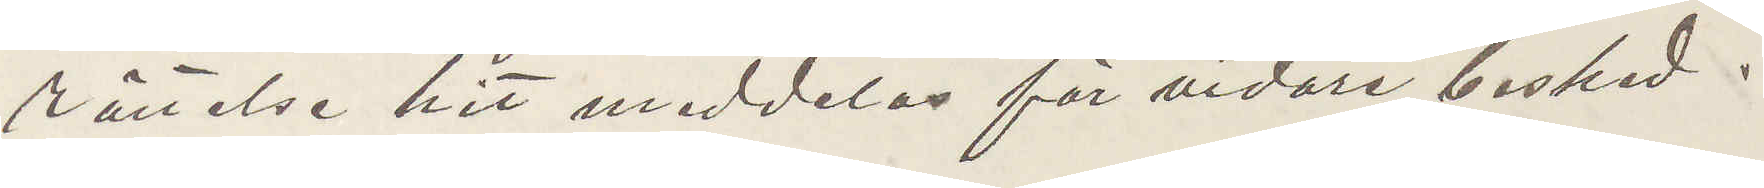rättelse hit meddelas för vidare besked.
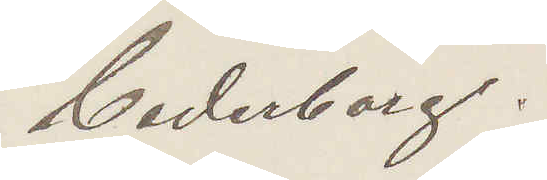Cederborg.
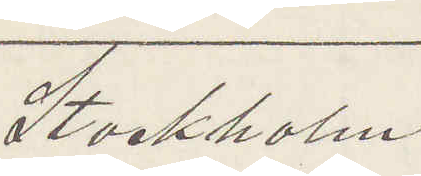Stockholm.
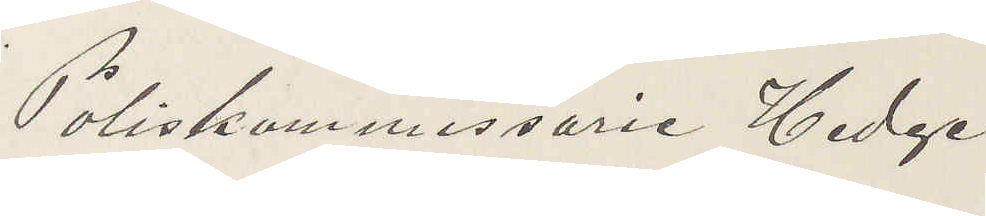Poliskommissarie Hedge
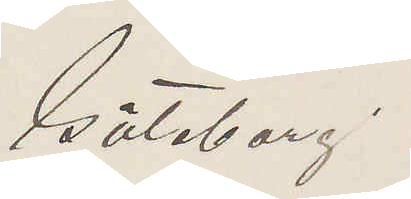Göteborg.
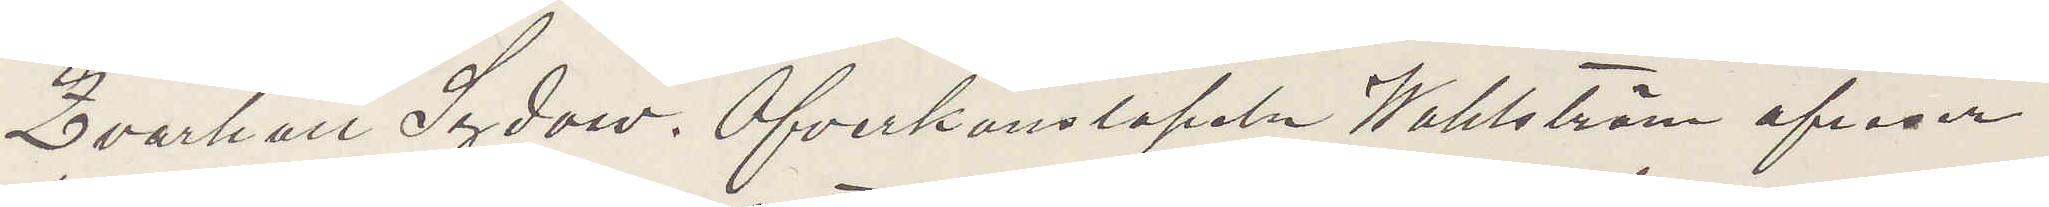Kvarhåll Sydow Öfverkonstapeln Wahlström afreser
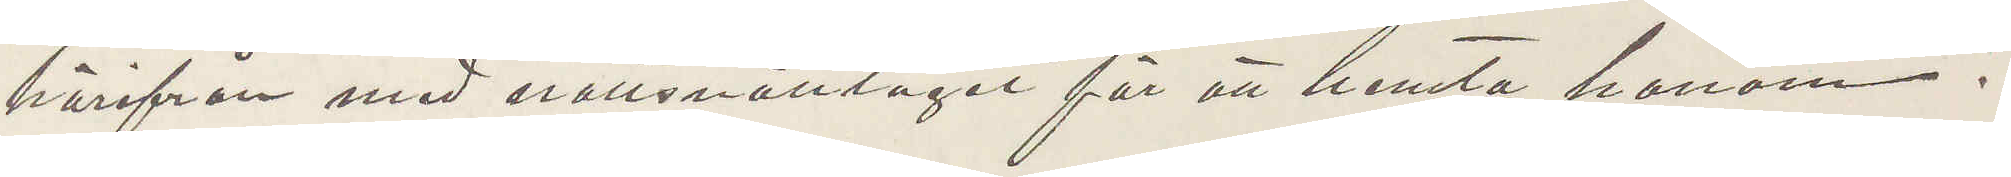härifrån med snälsnälltåget för att hemta honom.
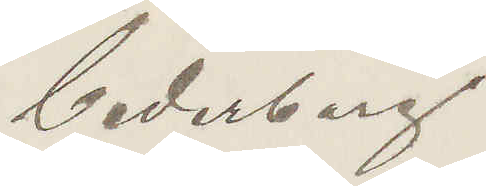Cederborg
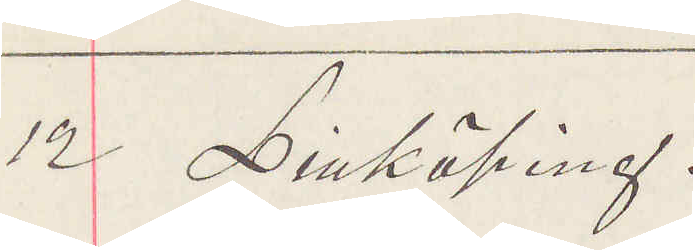12 Linköping.
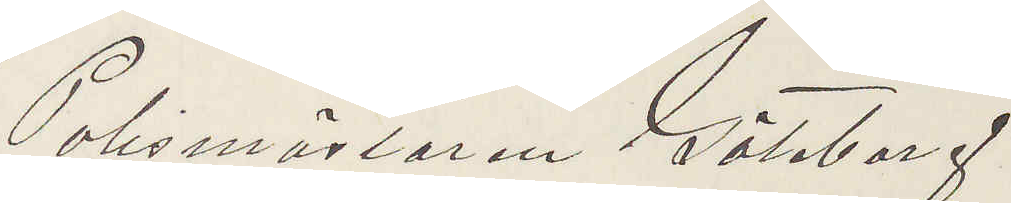Polismästaren Göteborg.
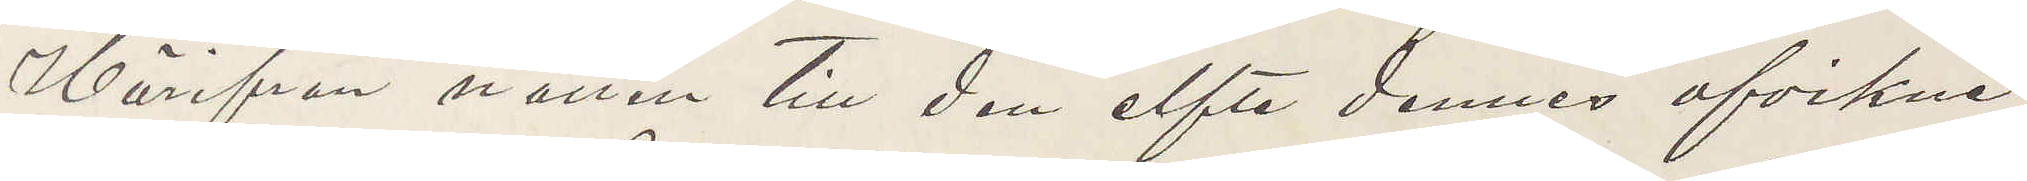Härifrån natten till den elfte dennes afvikna
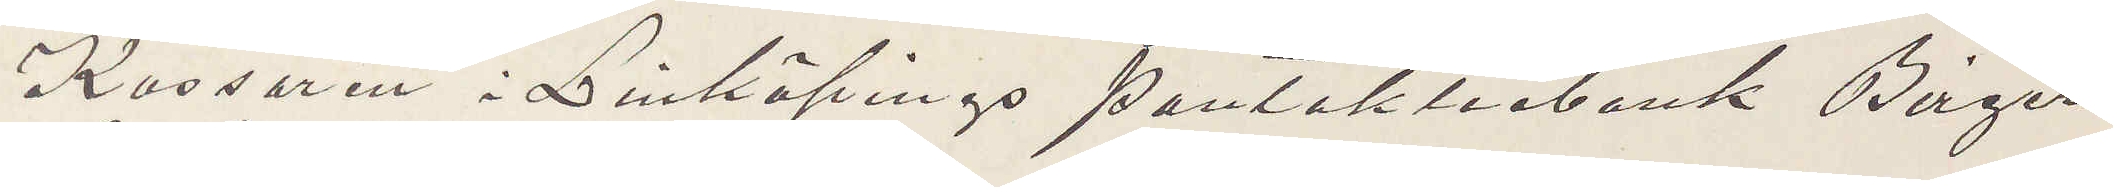Kassören i Linköpings pantaktiebank Birger
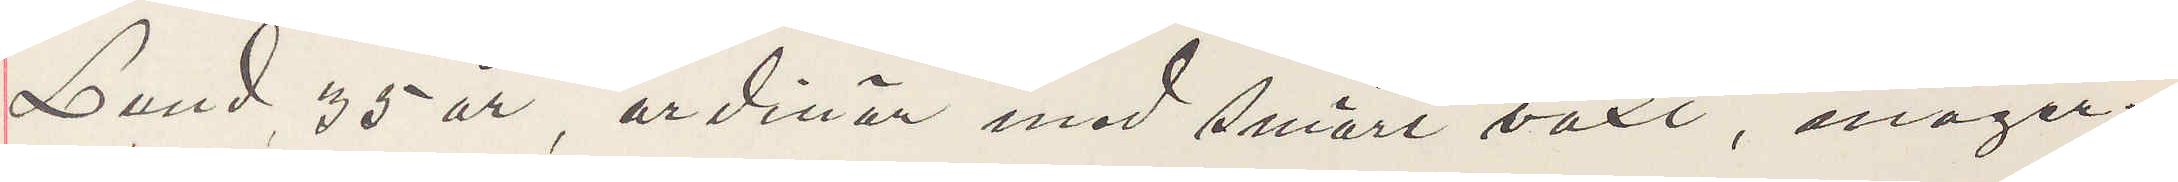Lund 35 år, ordinär med smärt växt, mager¬
